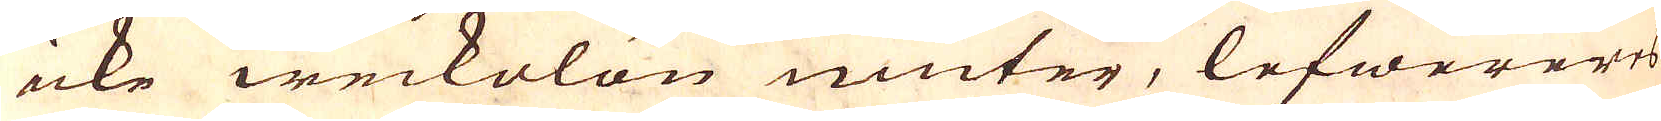icke weckolön niuter, lefwereres
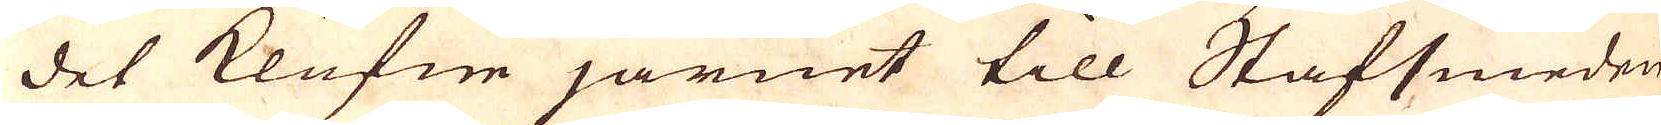det klufne järnet till Stafsmeden
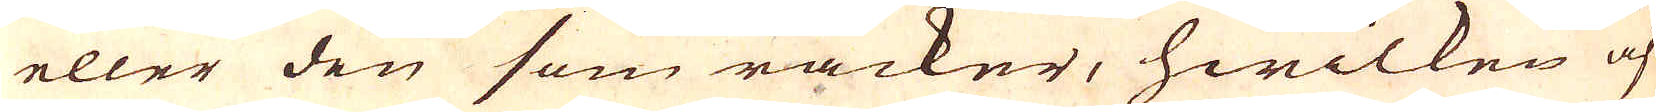eller den som räcker, hwilken äf-
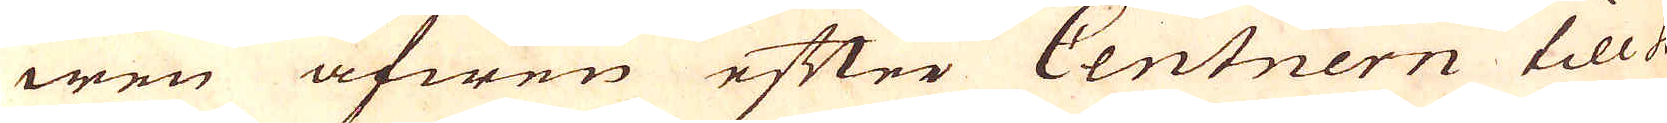wen äfwen efter Centnern till 4
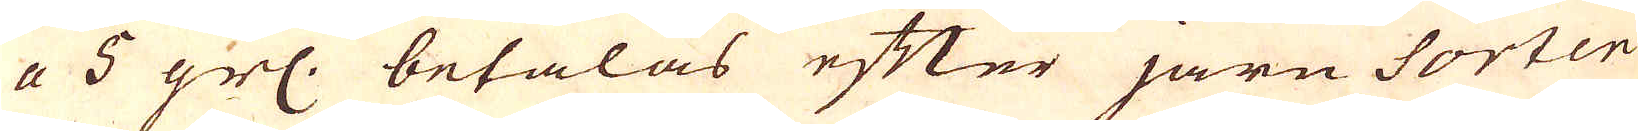a 5 grs: betalas efter järn Sorten
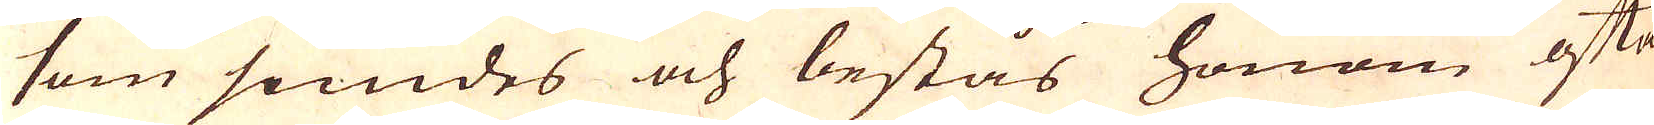som smides och bestås honom ofta
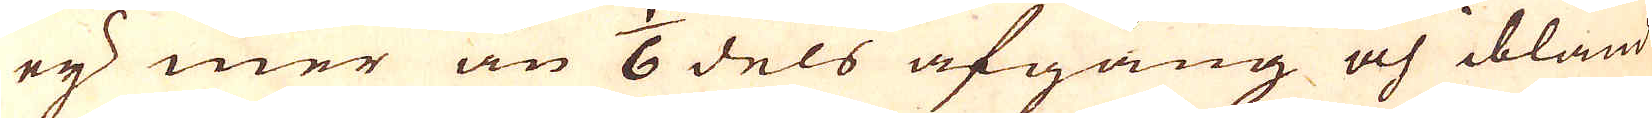eij mer än 1/6 dels afgång och ibland
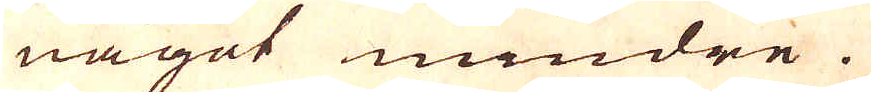något mindre.
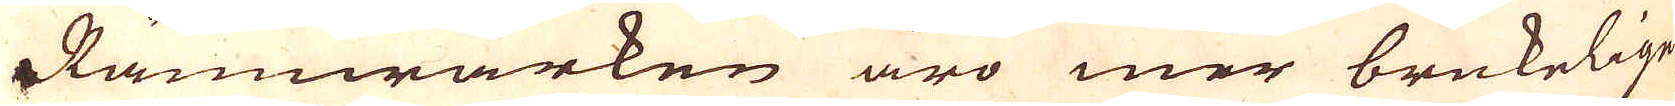Järnwärken äro mer brukelige
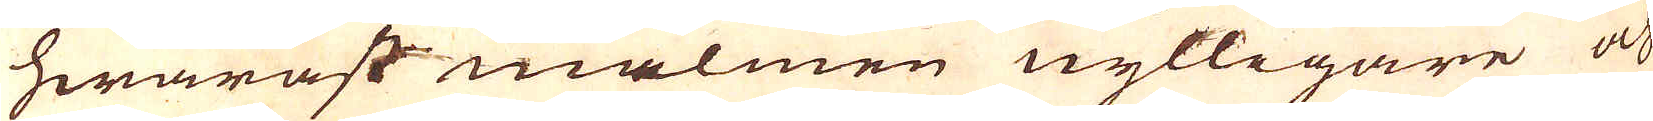hwaräst malmen nylligare och
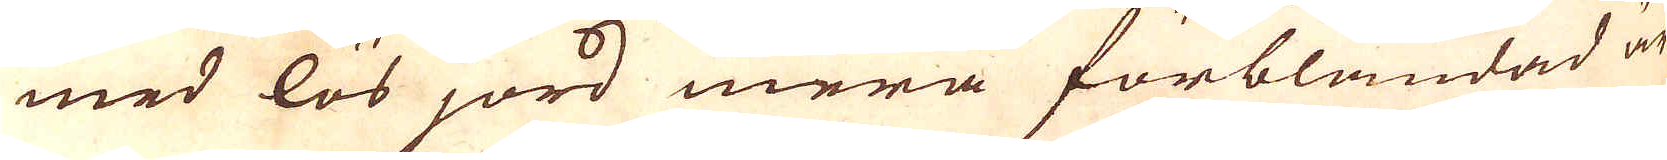med lös jord mera förblandad är
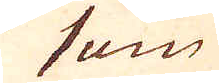som
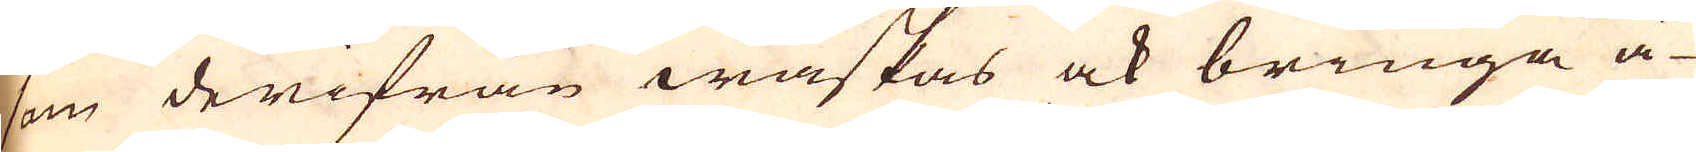som derifrån waskas ock bringa ä-
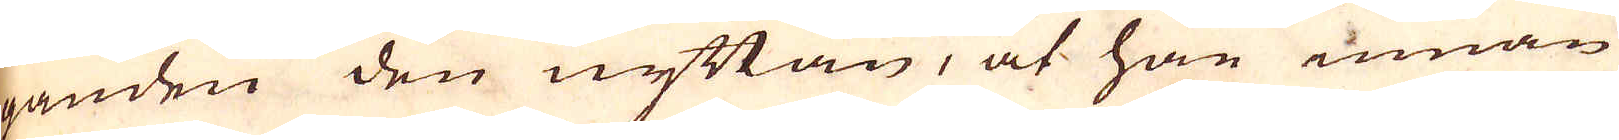ganden den nyttan, at han innan
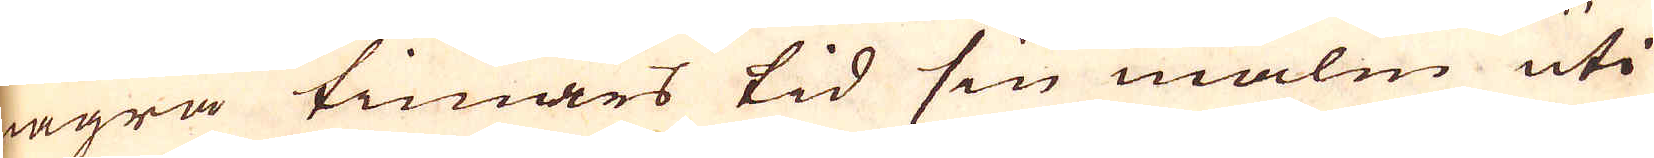några timars tid sin malm uti
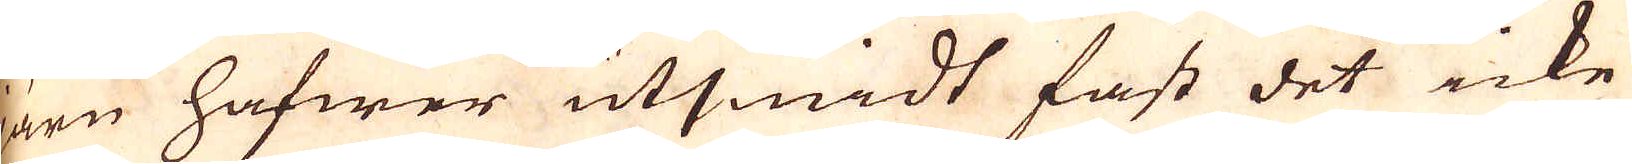järn hafwer utsmidt fast det icke
